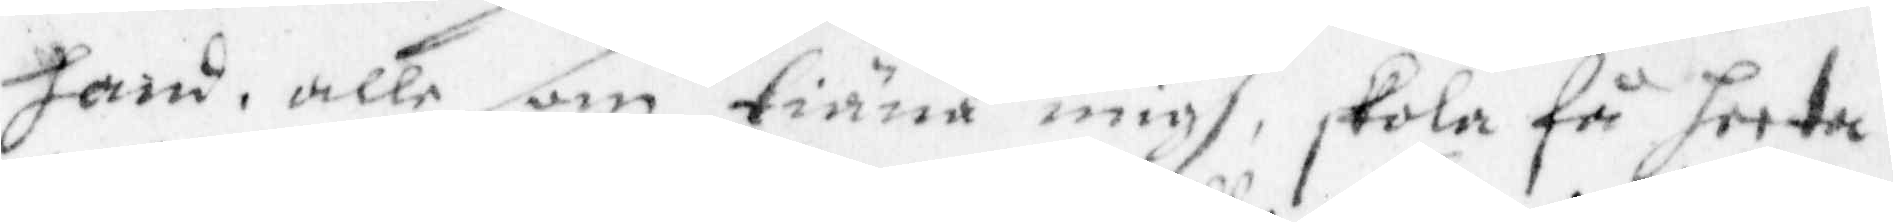hand, alle som tiäna migh, skola så heeta
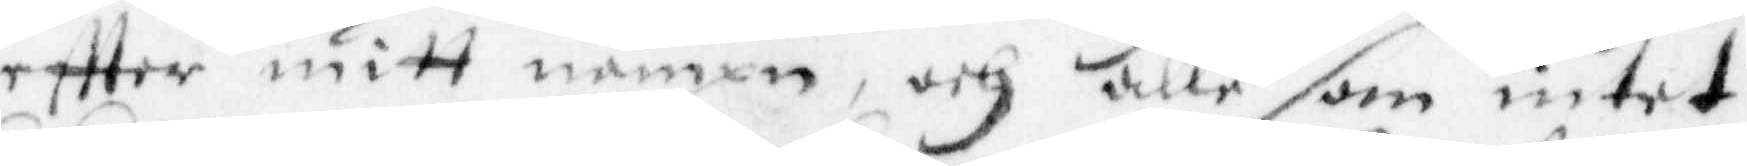eftter mitt nampn, och alle som intet
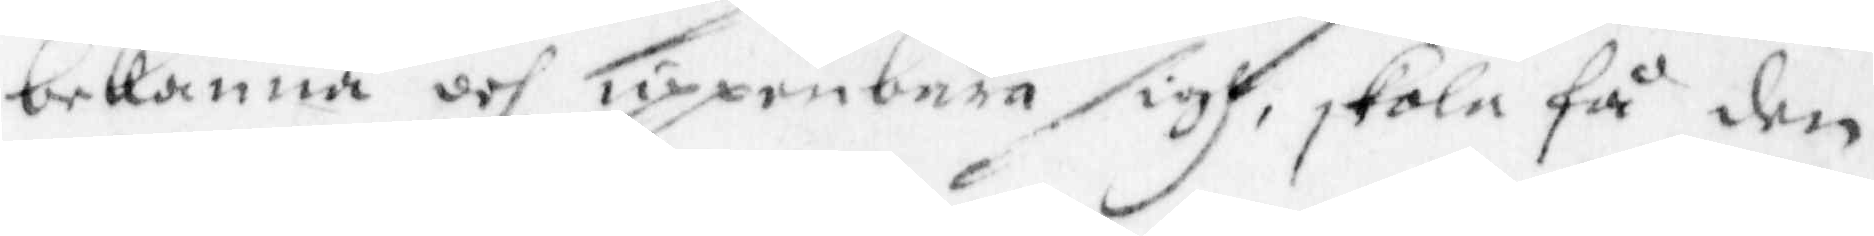bekänna och uppenbara sigh skola få den
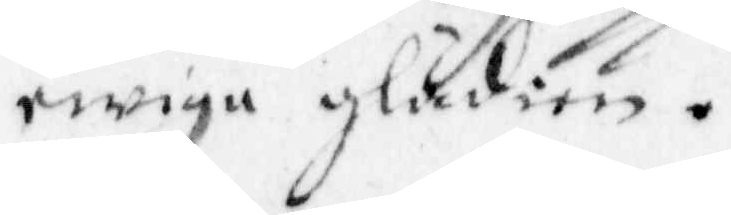ewiga glädien.
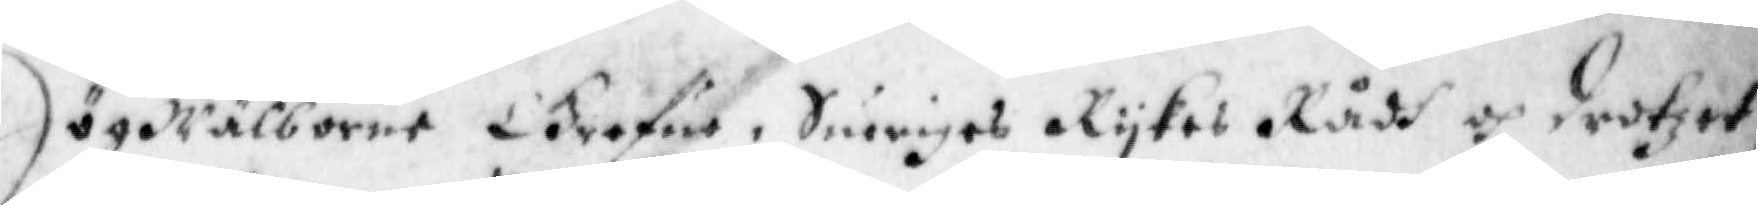Högwälborne Grefwe, Sweriges Rykes Rådh och drotzet,
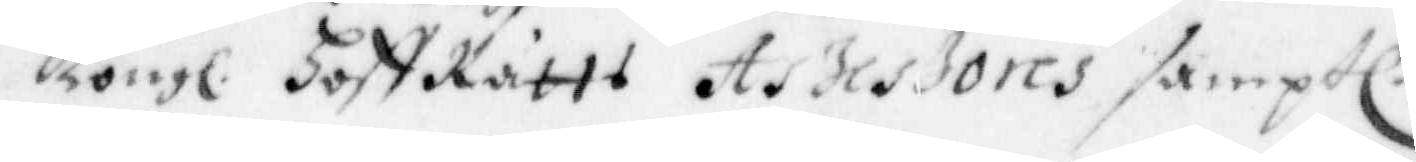Kongl. HoffRätts Assessores samptl.
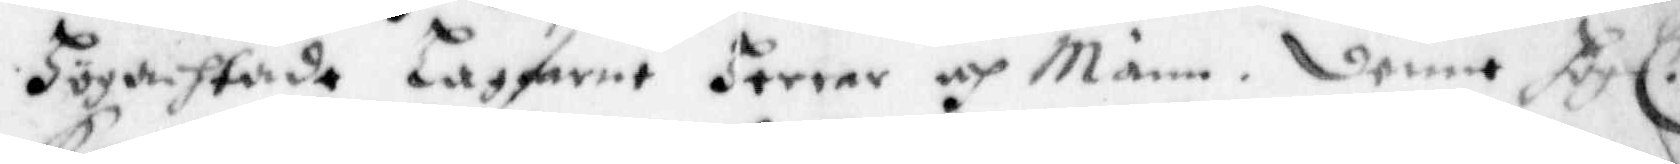Högachtade Lagfarne Herrar och Männ. denne Högl.
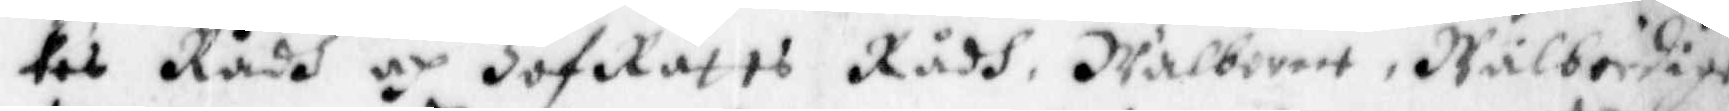kes Rådh oh HoffRätts Rådh, Wälborett, Wälbördige
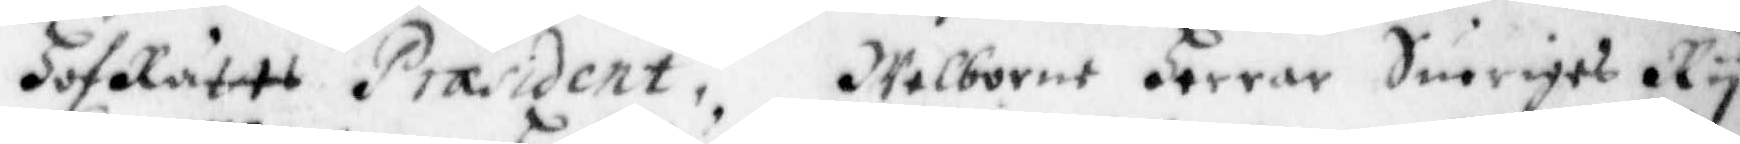HofRätts Præsident, Welborne Herrar Sweriges Ry¬
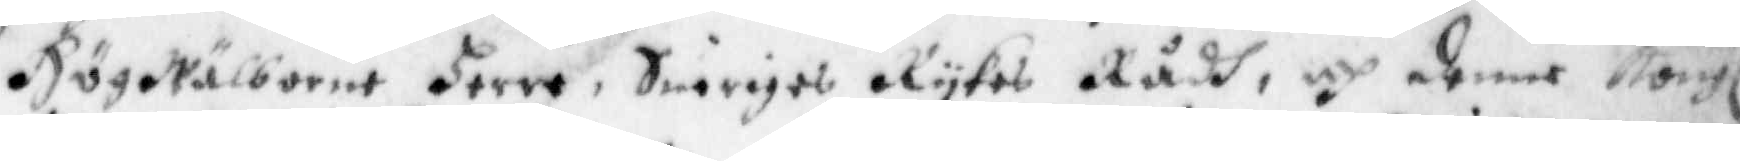Högwälborne Herre, Sweriges Rykes Rådh, och denne Kongl
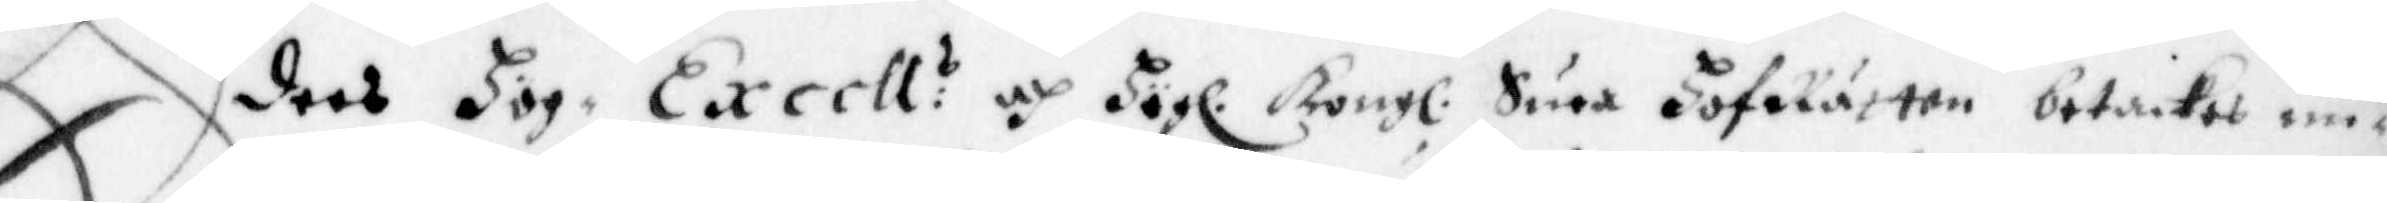Eders Höge Excell:s och Högl. Kongl: Swea HofRätten betakes un¬
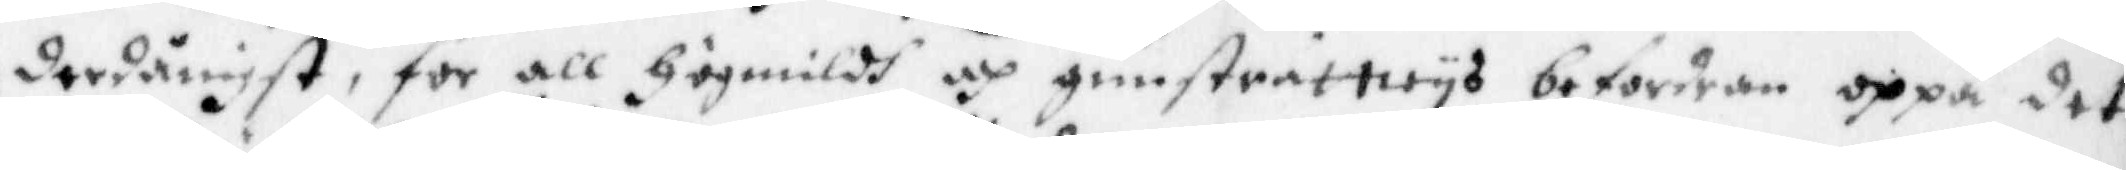derdånigst för all Högmildh och gunsträttwys befordran uppå det¬
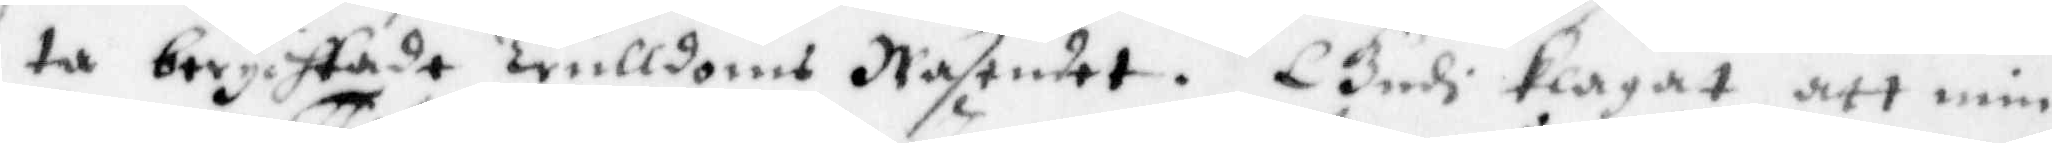ta berychtade Trulldoms Wäsendet. Gudh klagat att min
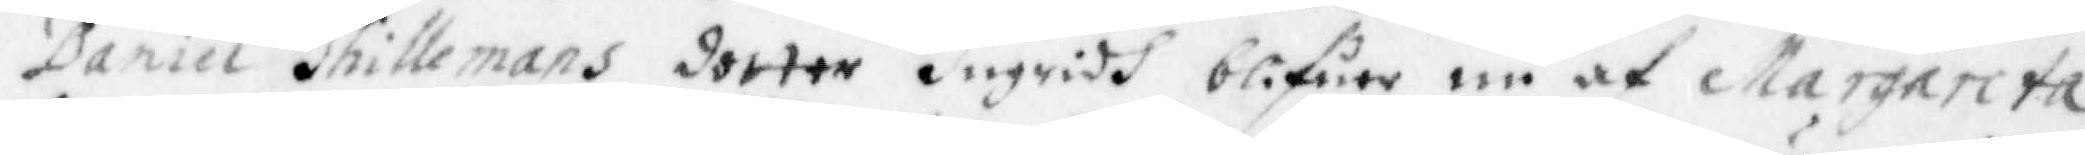Daniel Thillemans dotter Ingridh blifwer nu af Margareta
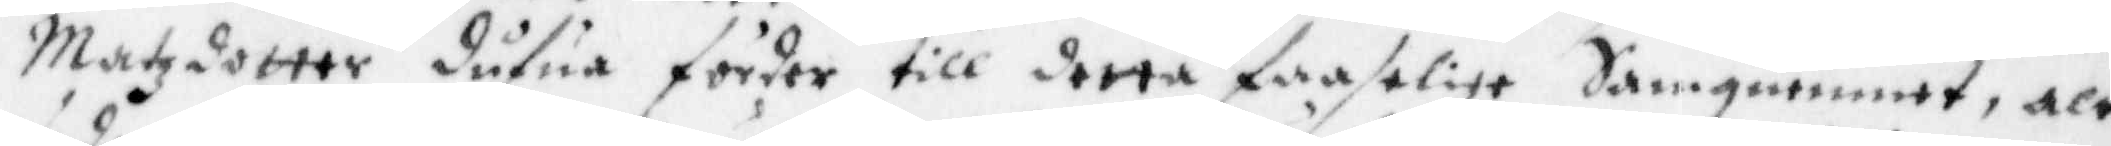Matzdotter dufua förder till detta faastlige samquemet, alt
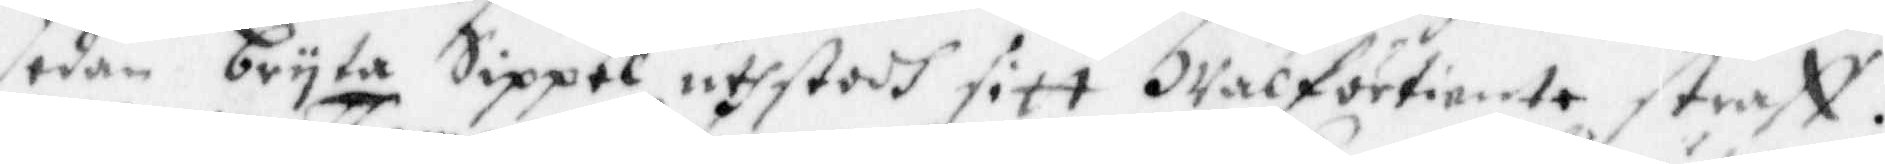sedan bryta Sippel uthstodh sitt Wälförtiente straff.
